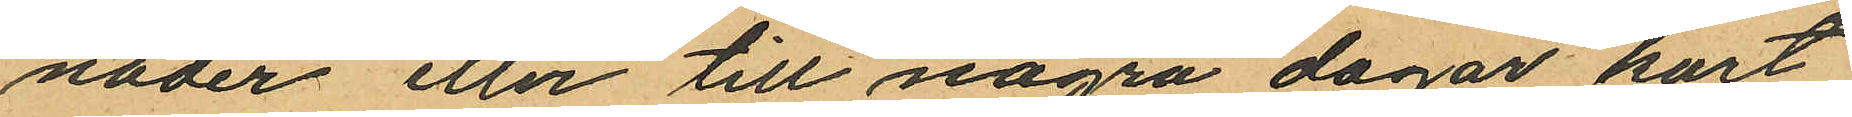nader eller till några dagar kort
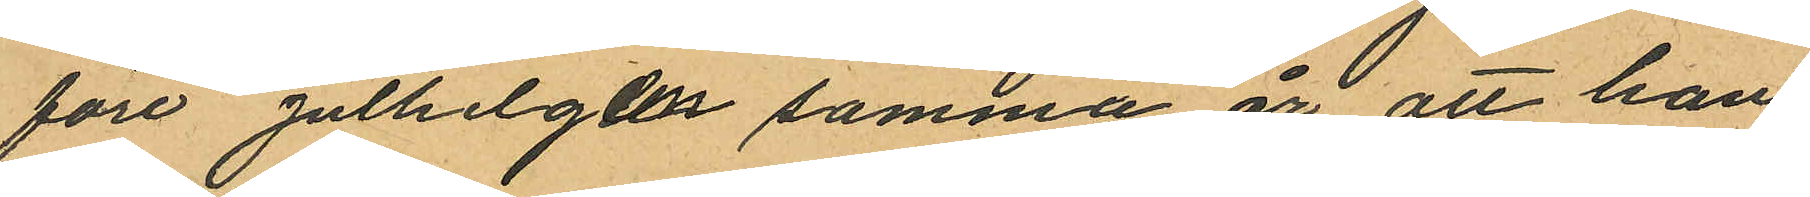före julhelgen samma år att han
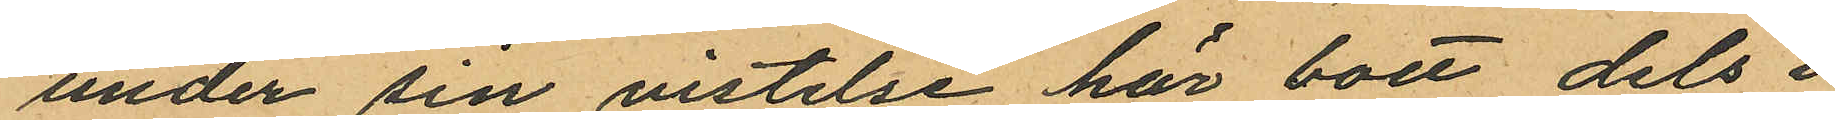under sin vistelse här bott dels i
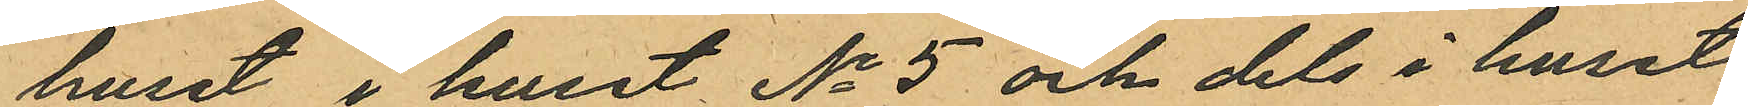huset i huset No 5 och dels i huset
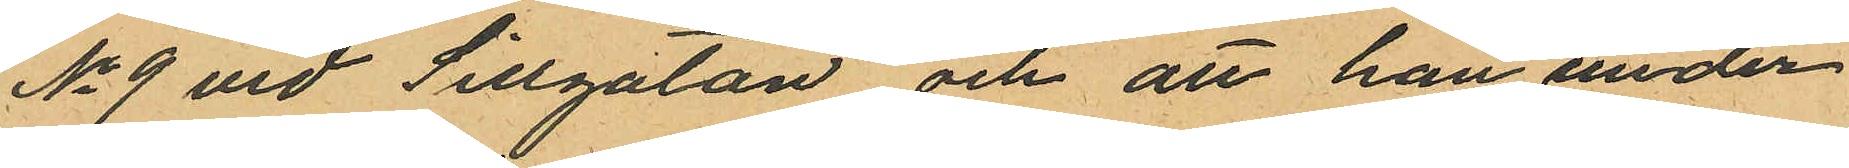No 9 vid Sillgatan och att han under
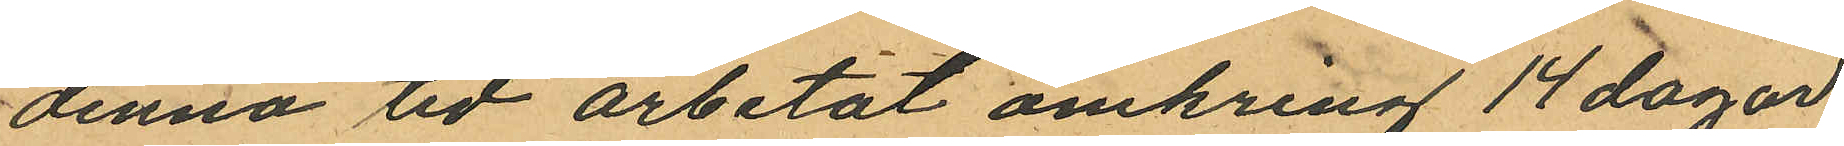denna tid arbetat omkring 14 dagar
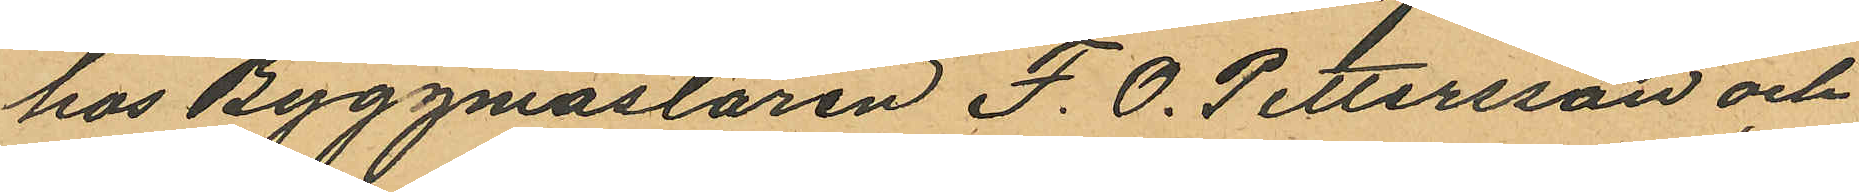hos Byggmästaren F. O. Pettersson och
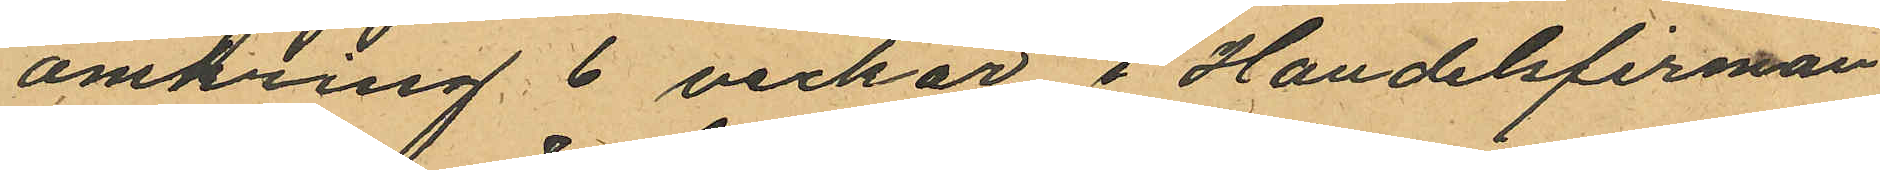omkring 6 veckor i Handelsfirman
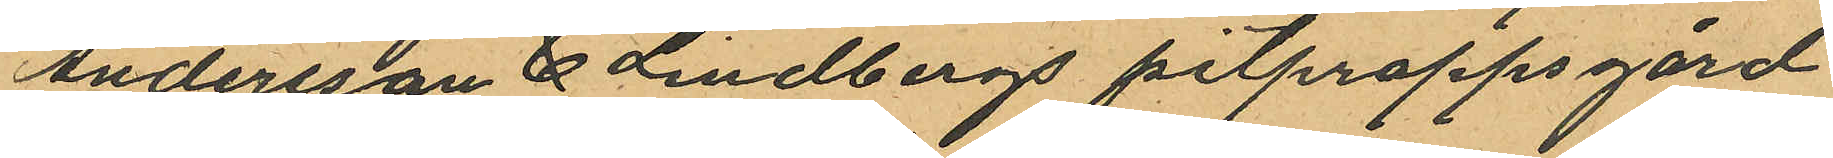Andersson & Lindbergs pitproppsgård
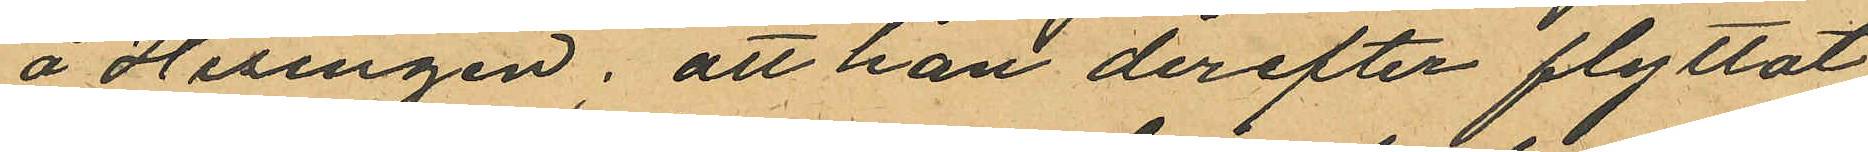å Hisingen; att han derefter flyttat
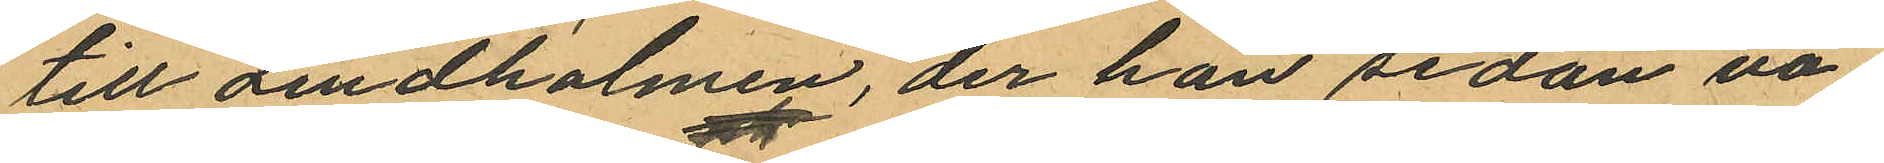till Lindholmen, der han sedan va¬
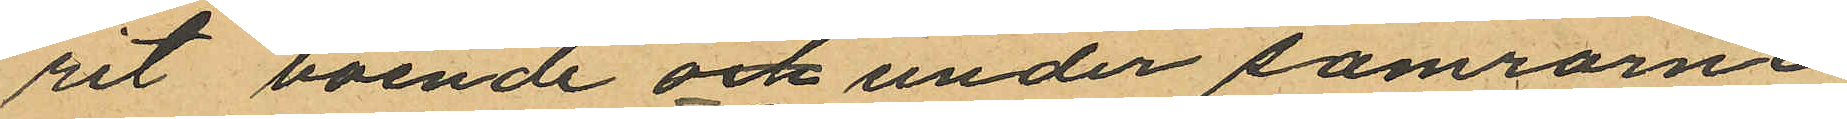rit boende och under somrarne
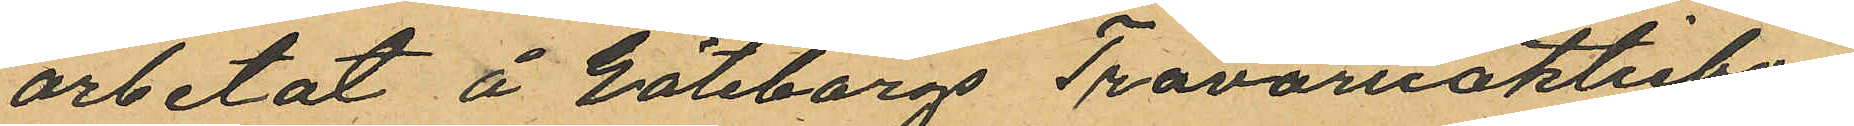arbetat å Göteborgs Trävaruaktiebo¬
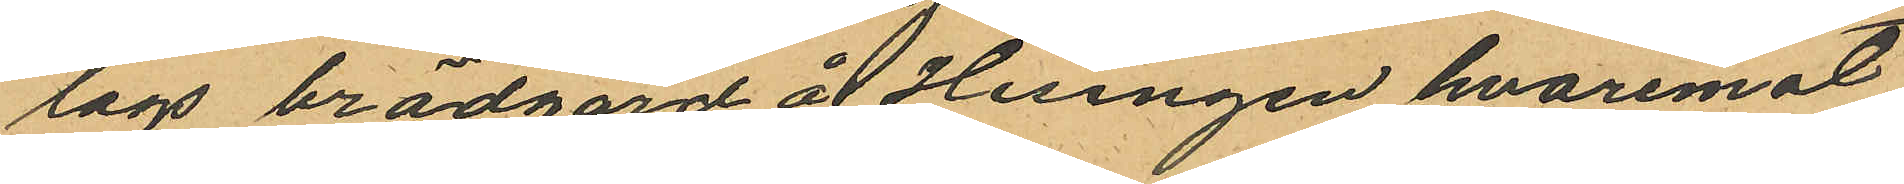lags brädgård å Hisingen hvaremot
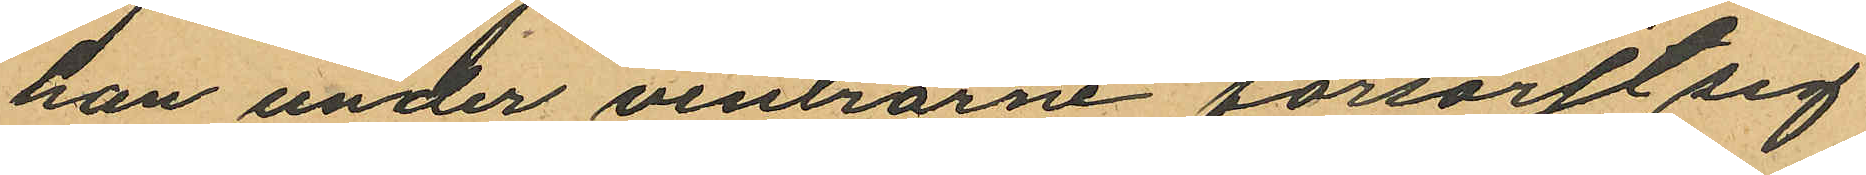han under vintrarne försörjt sig
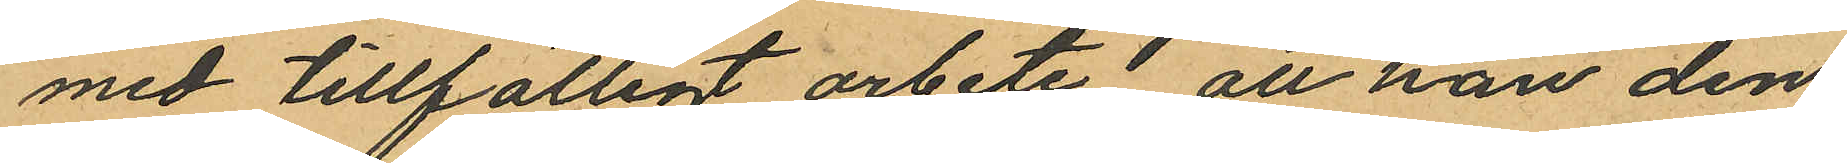med tillfälligt arbete att han den
